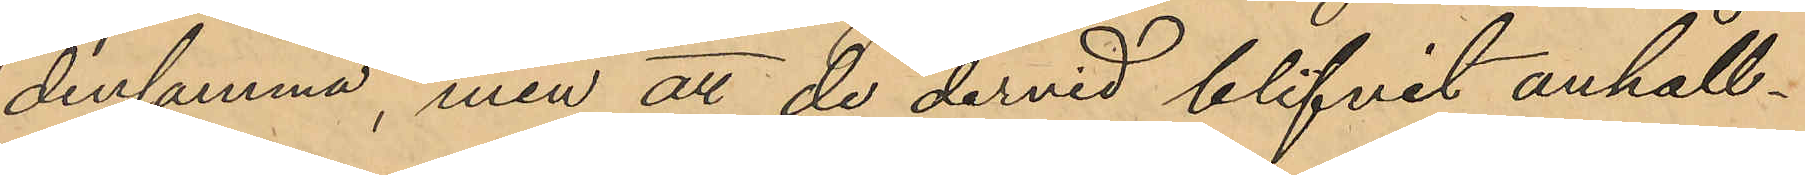densamma, men att de dervid blifvit anhåll¬
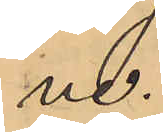na.
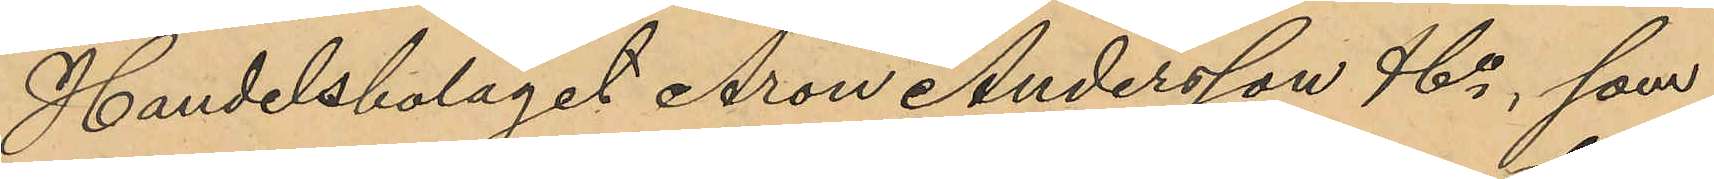Handelsbolaget Aron Andersson & Co, som
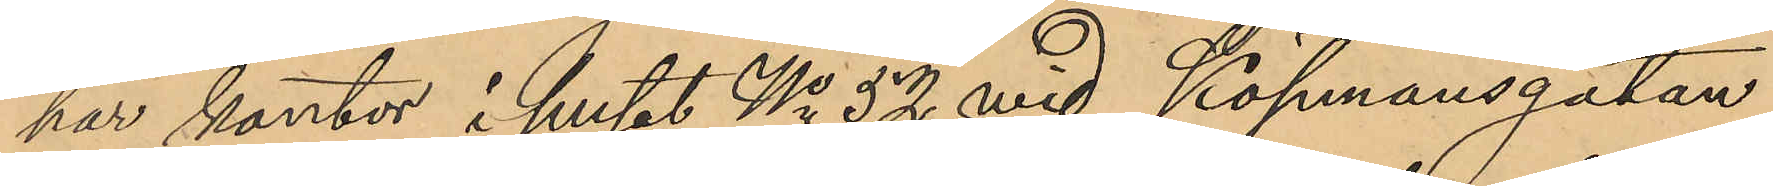har kontor i huset No 52 vid Köpmansgatan
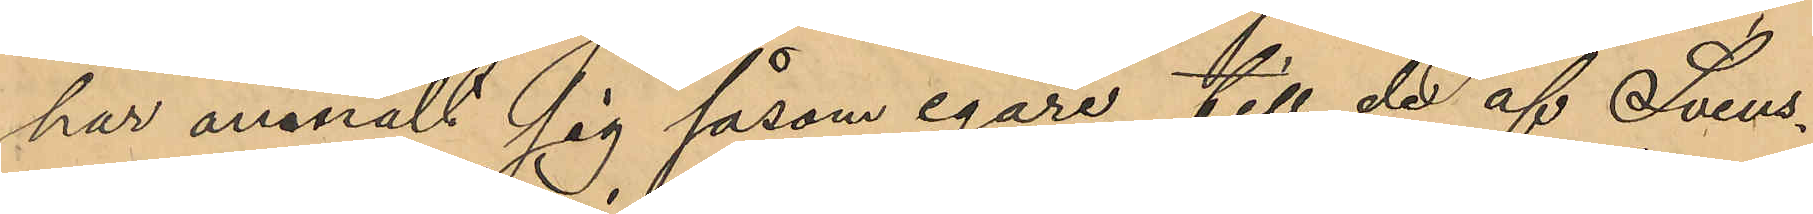har anmält sig såsom egare till de af Svens¬
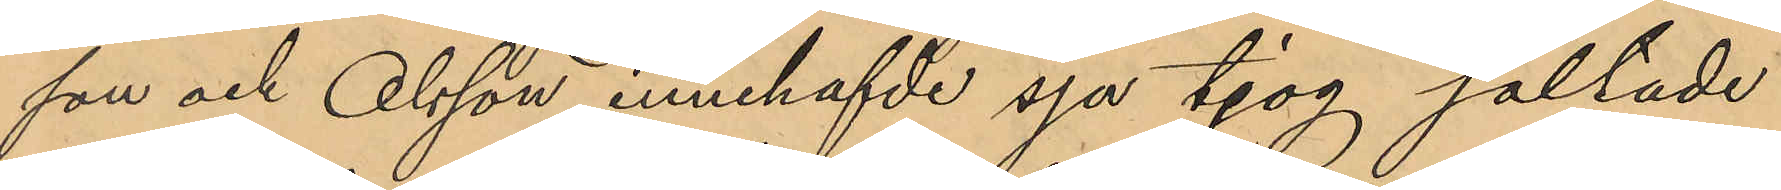son och Olsson innehafvde sju tjog saltade
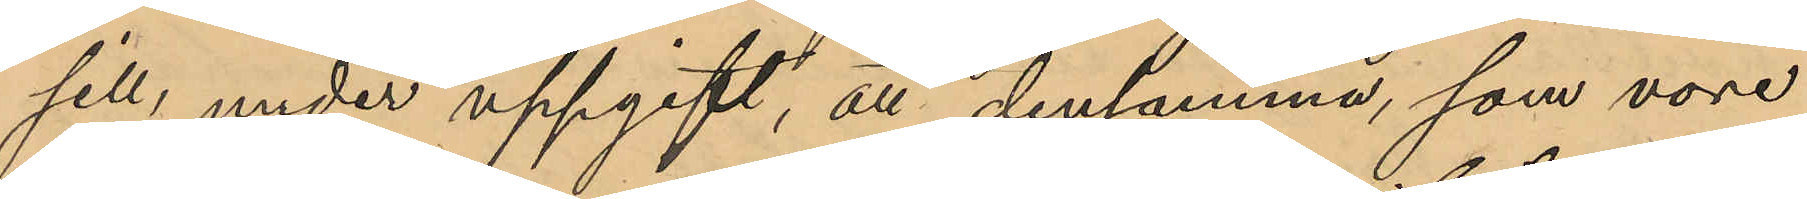sill, under uppgift, att densamma, som vore
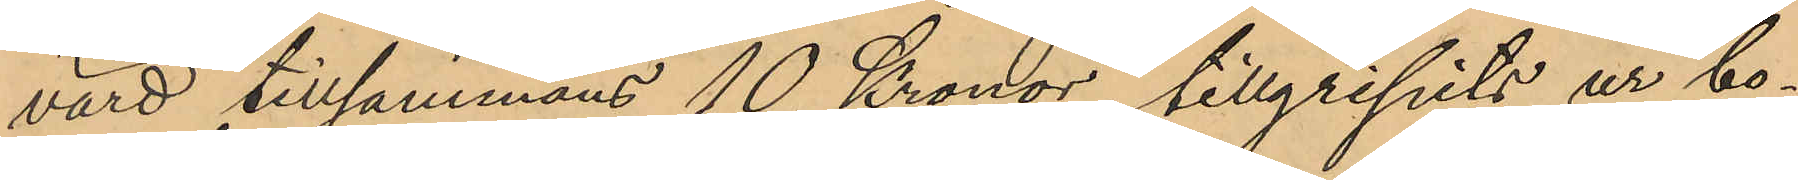värd tillsammans 10 Kronor, tillgripits ur bo¬
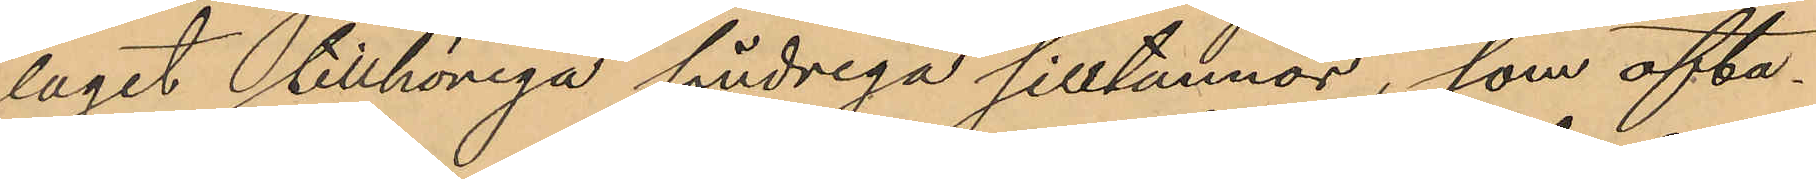laget tillhöriga söndriga silltunnor, som ofta¬
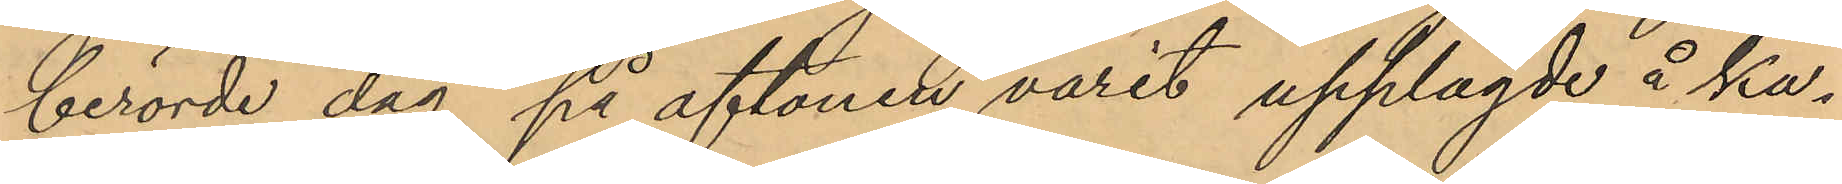berörde dag på aftonen varit upplagde å ka¬
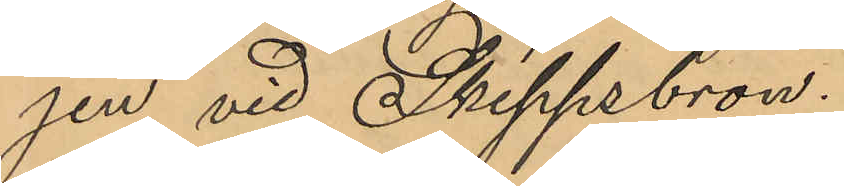jen vid Skeppsbron.
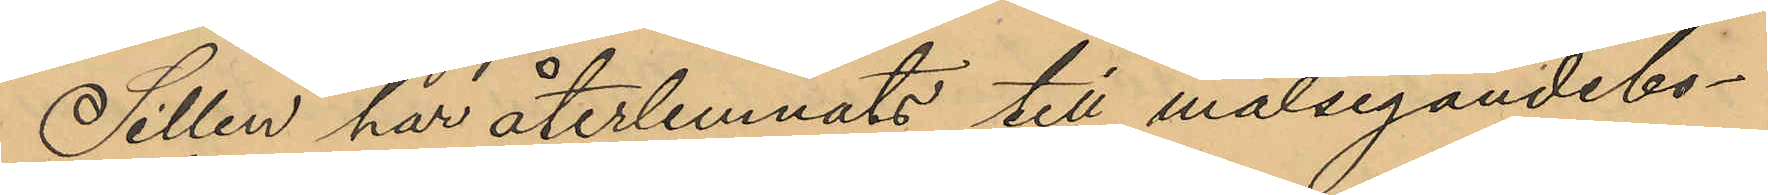Sillén har återlemnats till målsegandebo¬
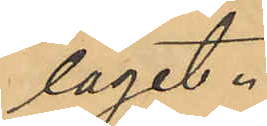laget.
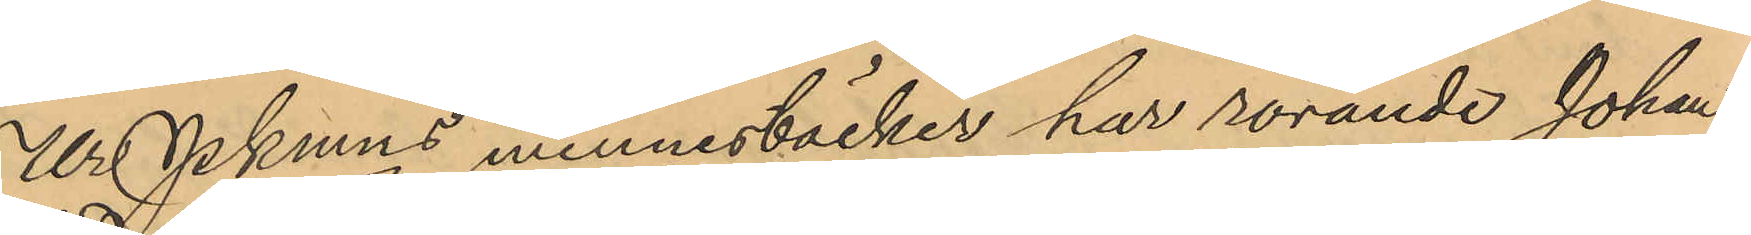Ur Pkmns minnesböcker har rörande Johan
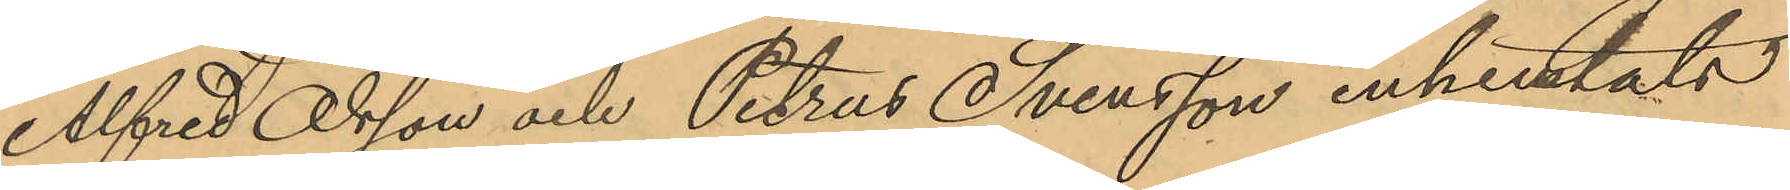Alfred Olsson och Petrus Svensson inhemtats
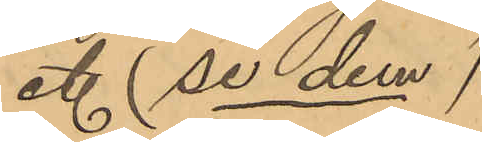et. (se dem)
